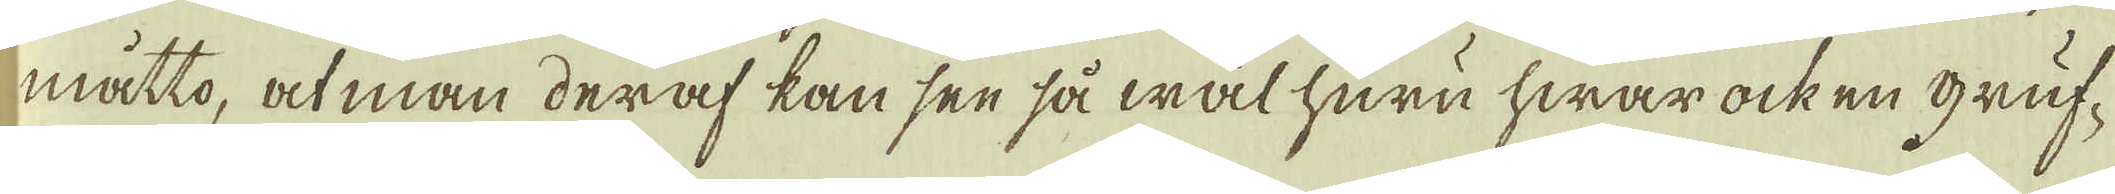måtto, at man deraf kan sen så wäl huru hwar ock en gruf-
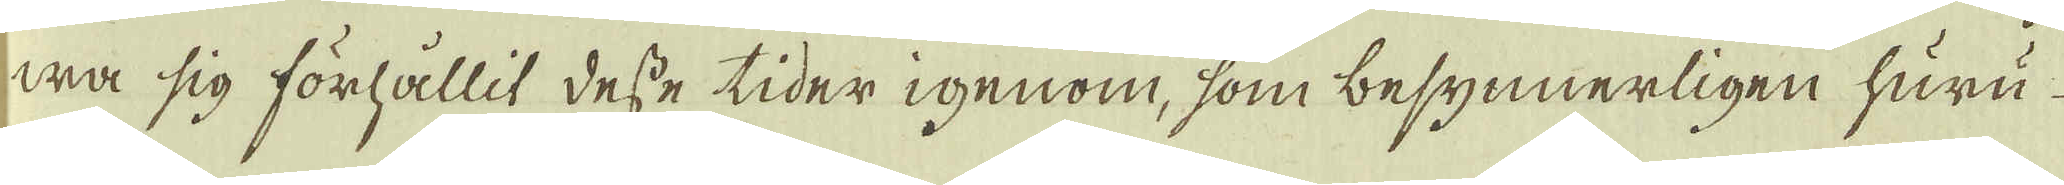wa sig förhållit desse tider igenom, som besynnerligen huru
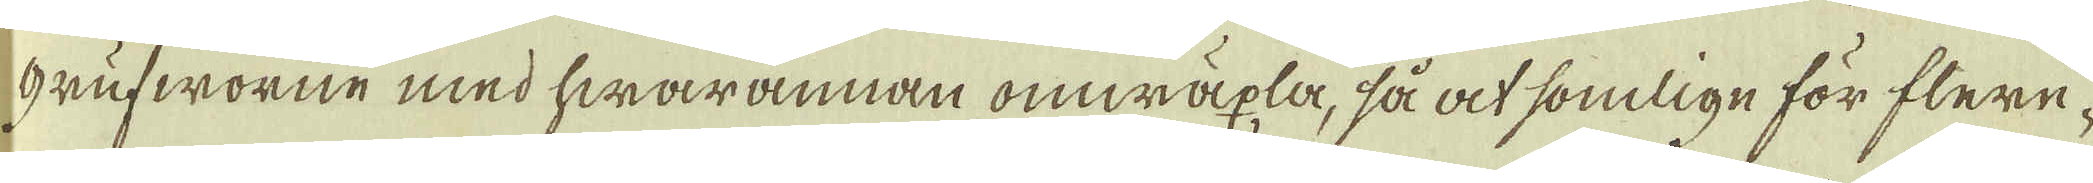grufworne med hwarannan omwäxla, så at somlige för flere-
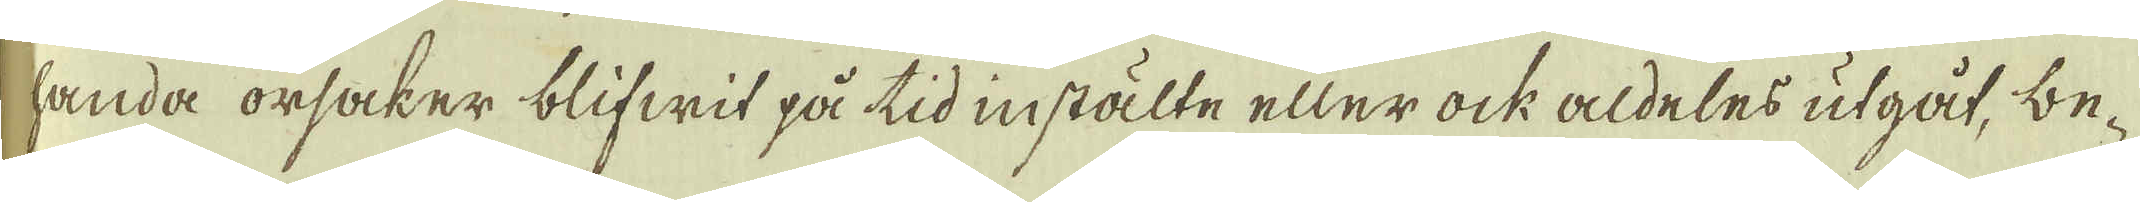handa orsaker blifwit på tid instälte eller ock aldeles utgåt, be-
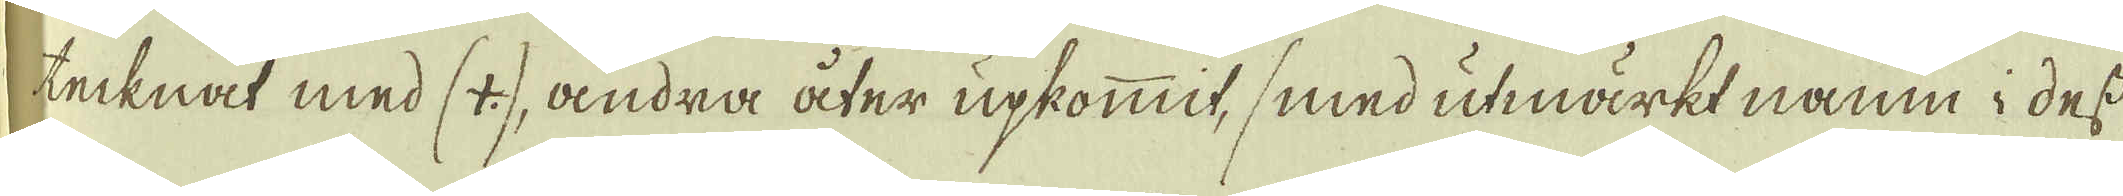tecknat med (4:), andra åter upkommit, smed utmärkt namn i dess
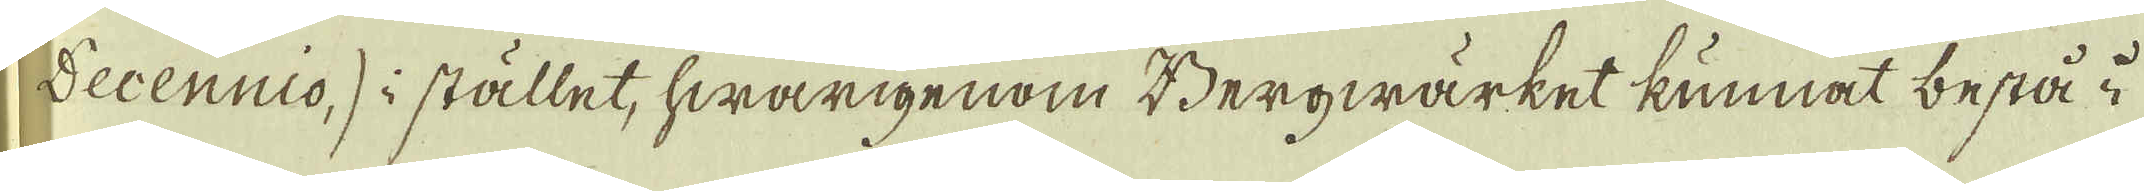Decennio,) i stället, hwarigenom Bergwärket kunnat bestå i
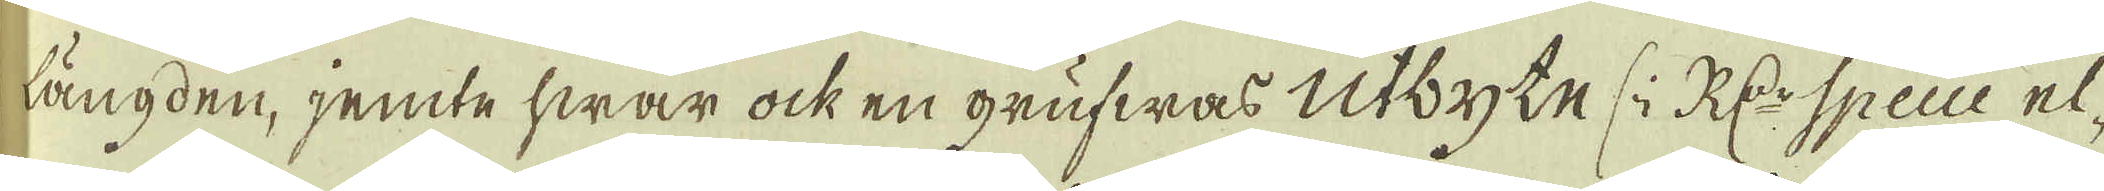längden, jemte hwar ock en grufwas utbyte (i R:dr Specie el-
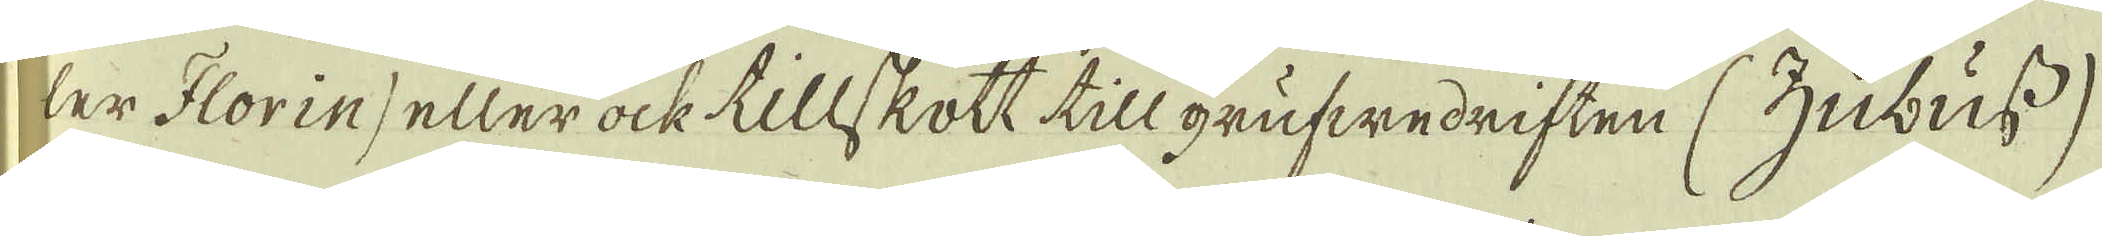ler Florin) eller ock tillskott till grufwedriften (Zubuss)
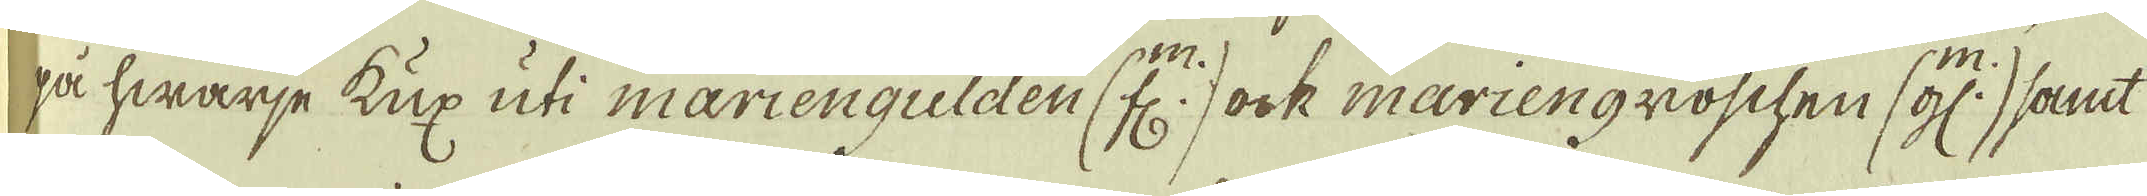på hwarje Kux uti mariengulden (fl.) ock mariengroschen (gl:) samt
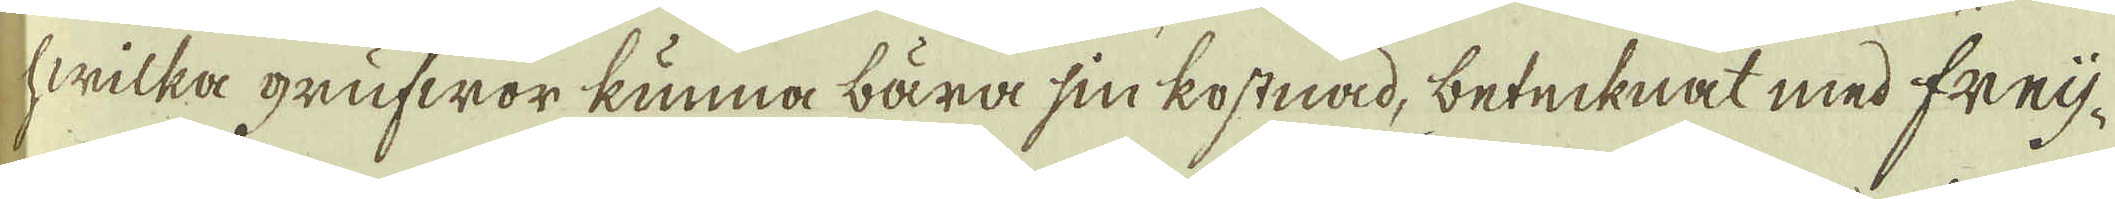hwilka grufwor kunna bära sin kostnad, betecknat med freij-
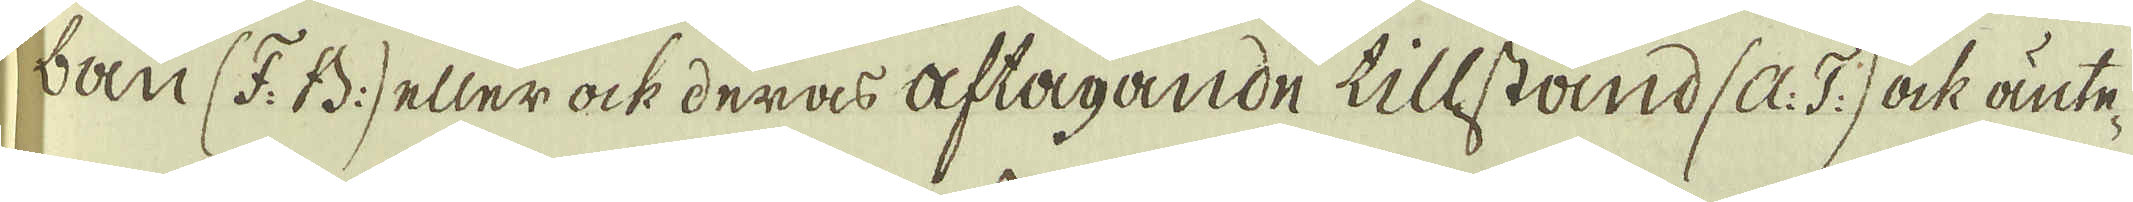bau (F: B:) eller ock deras aftagande tillstånd (A: T:) ock änte-
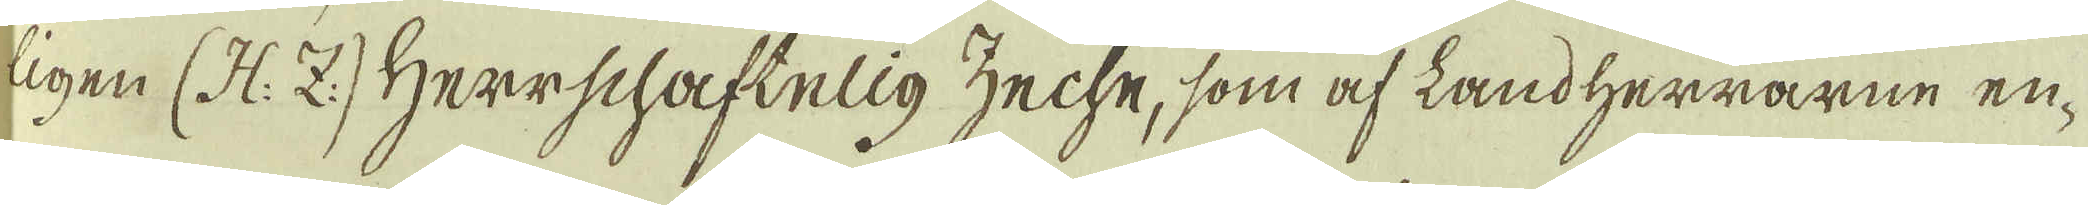ligen (H: Z:) Herrschaftelig zeche, som af landherrarne en-
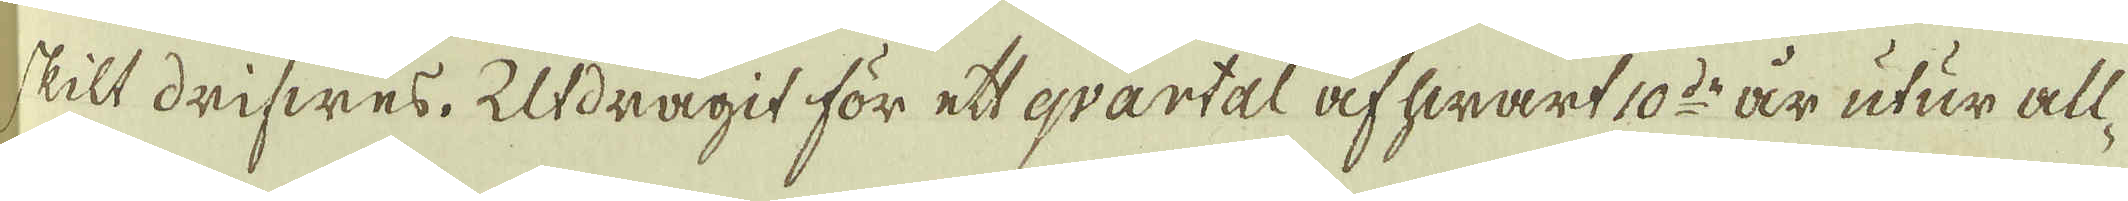skilt drifwes. Utdragit för ett qvartal af hwart 10:de år utur all-
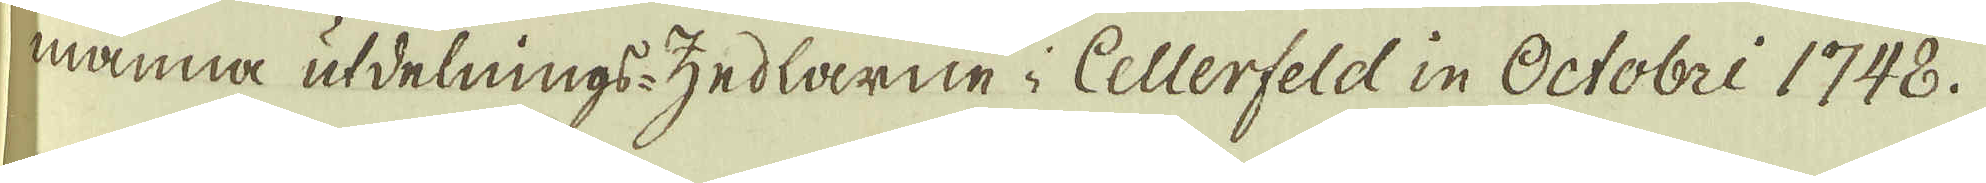mämna utdelnings-zedlarne i Cellerfeld in Octobri 1748.
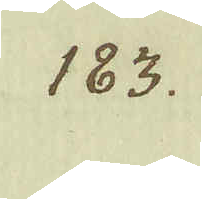183.
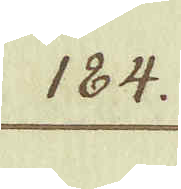184.
